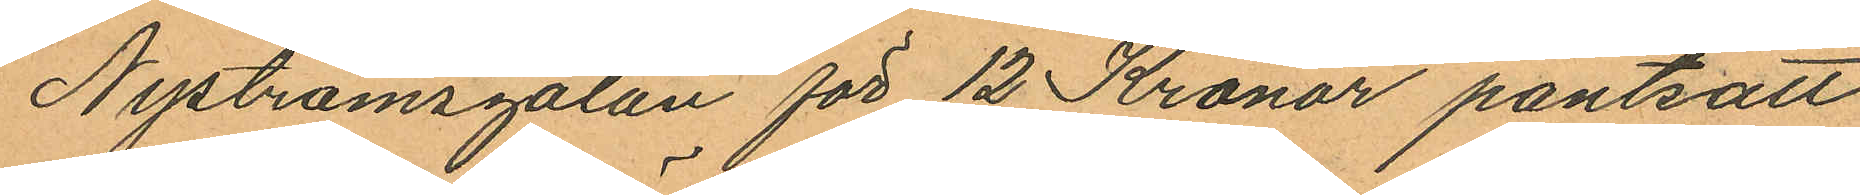Nyströmsgatan för 12 Kronor pantsatt
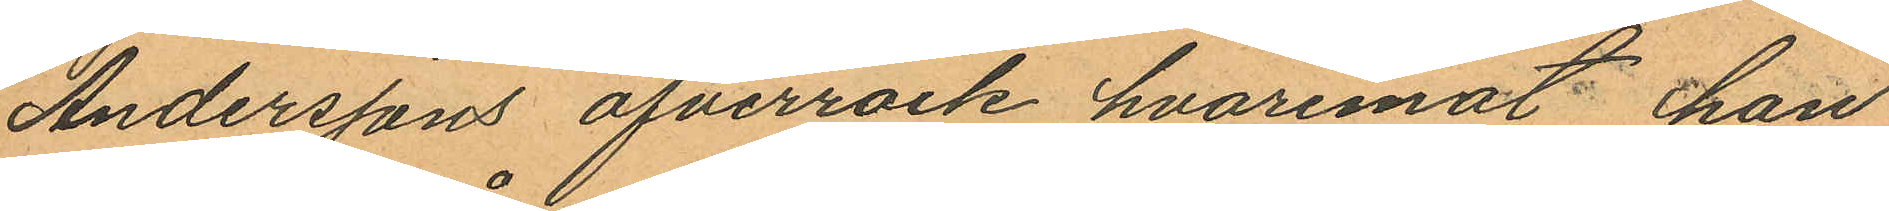Anderssons öfverrock, hvaremot han
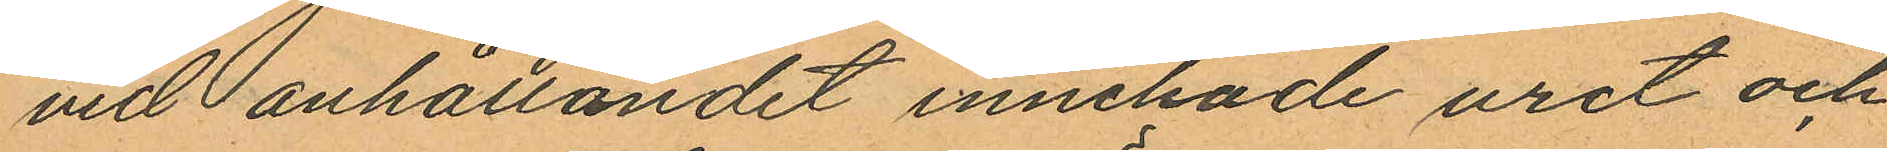vid anhållandet innehade uret och
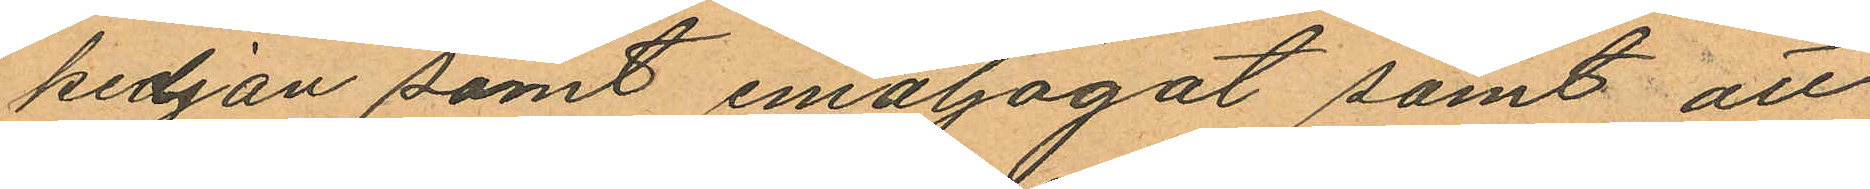kedjan samt emaljögat samt att
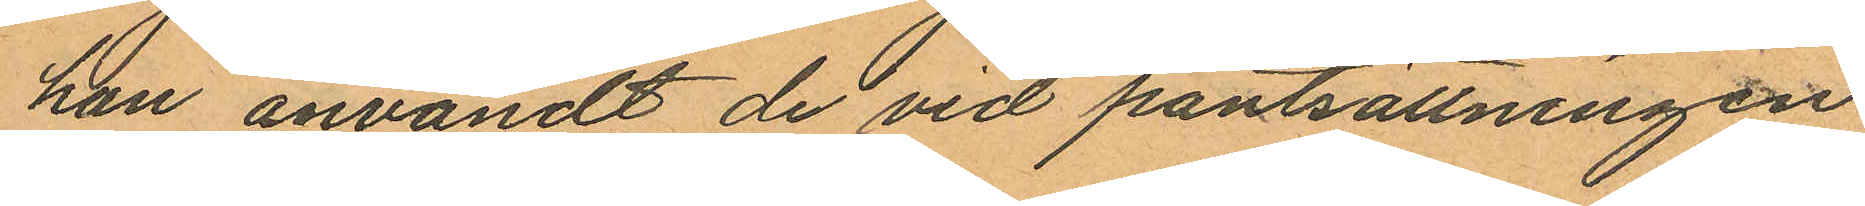han användt de vid pantsättningen
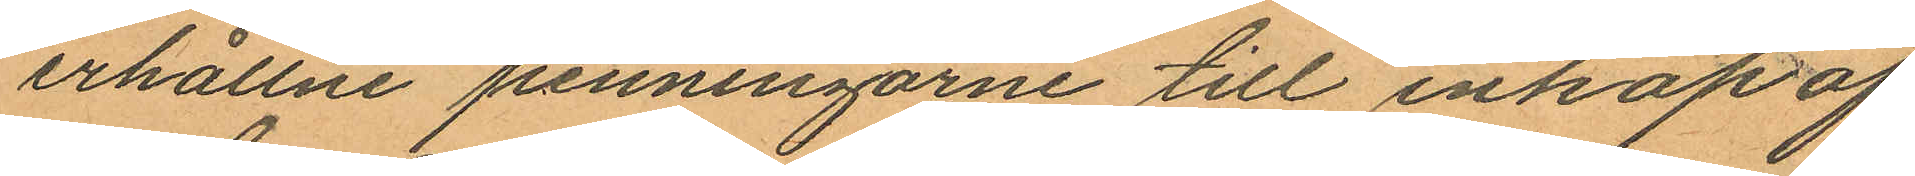erhållne penningarne till inköp af
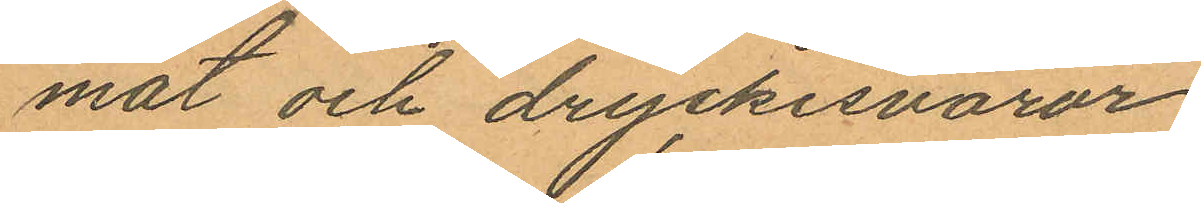mat och dryckesvaror.
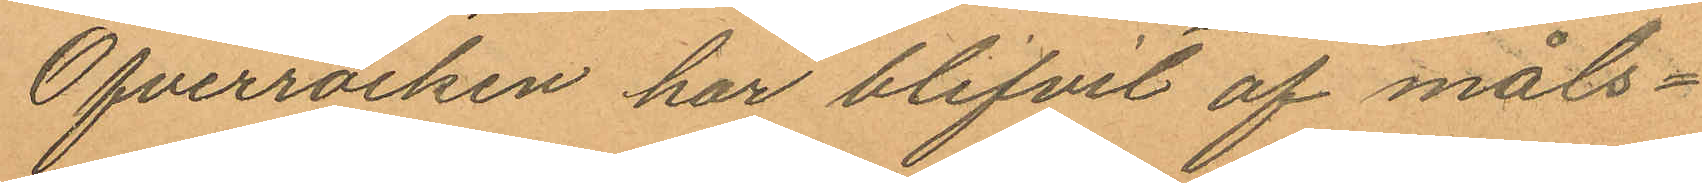Öfverrocken har blifvit af måls¬
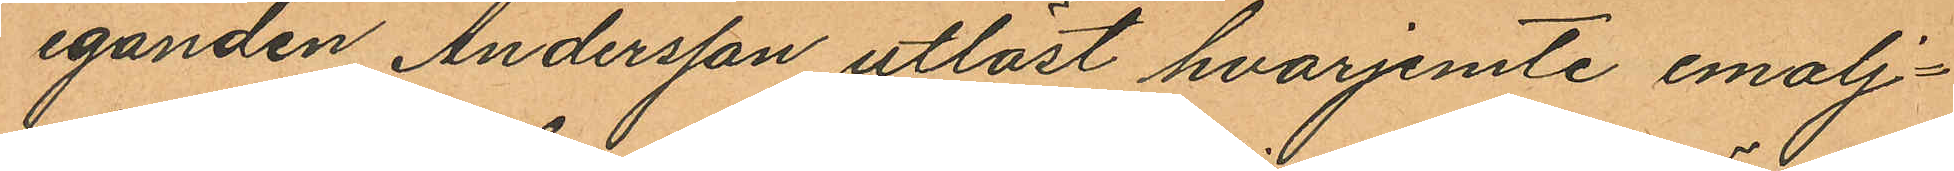eganden Andersson utlöst hvarjemte emalj¬
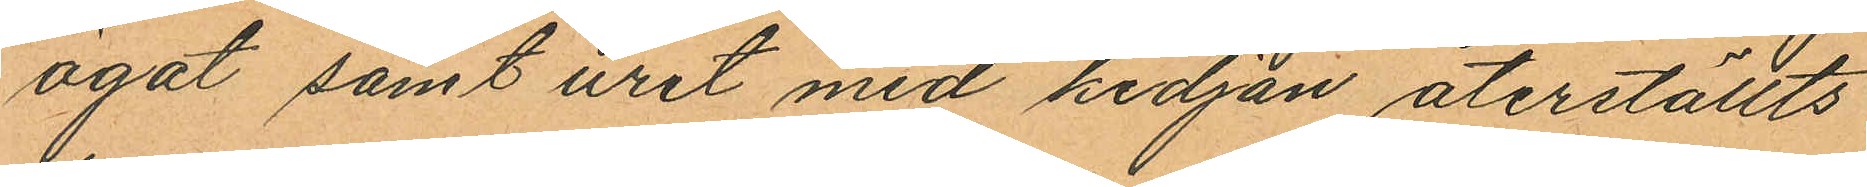ögat samt uret med kedjan återställts
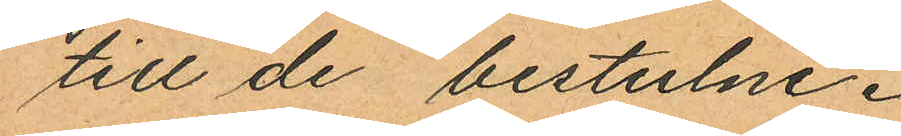till de bestulne.
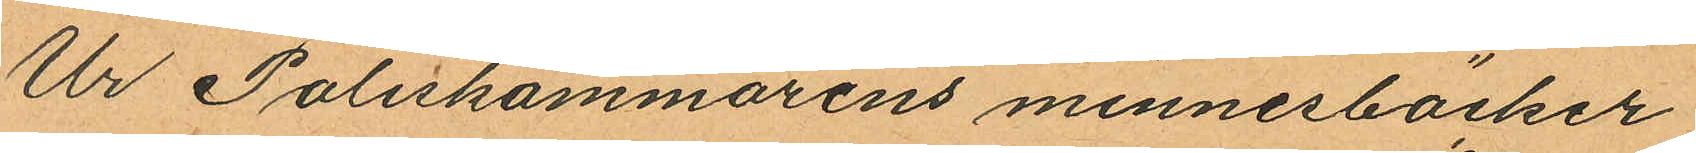Ur Poliskammarens minnesböcker
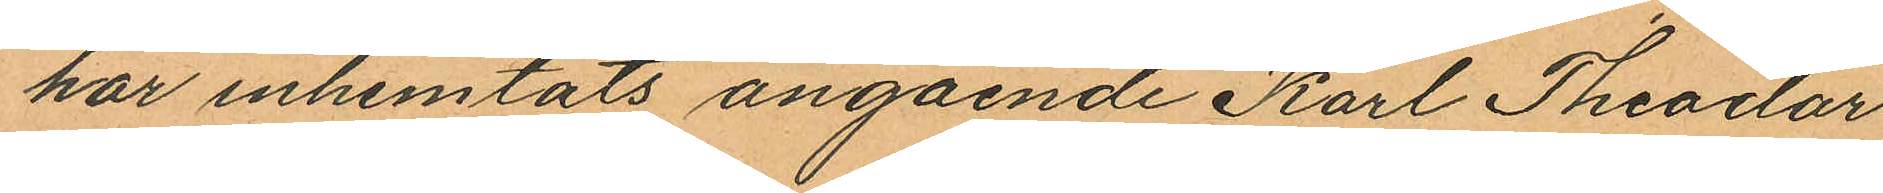har inhemtats angående Karl Theodor
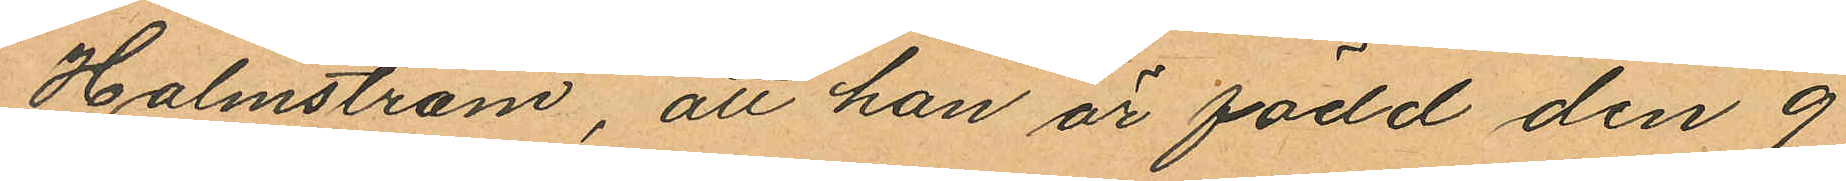Holmström, att han är född den 9
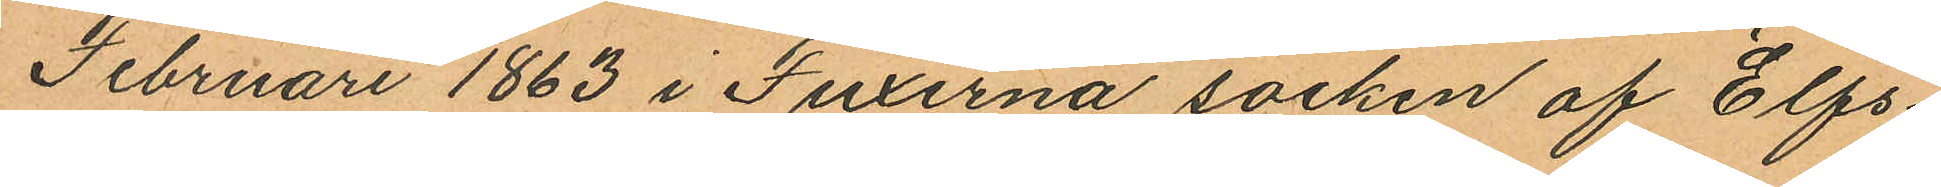Februari 1863 i Fuxerna socken af Elfs¬
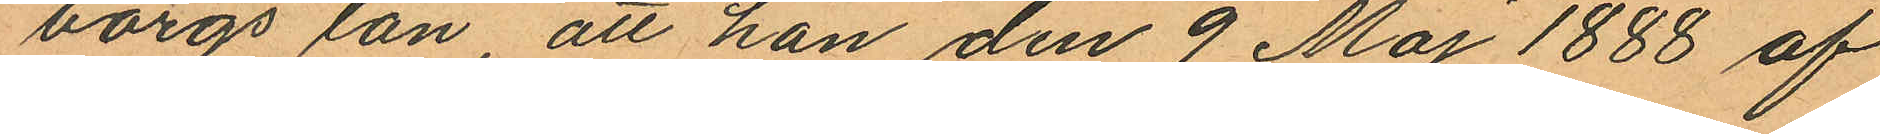borgs län, att han den 9 Maj 1888 af
